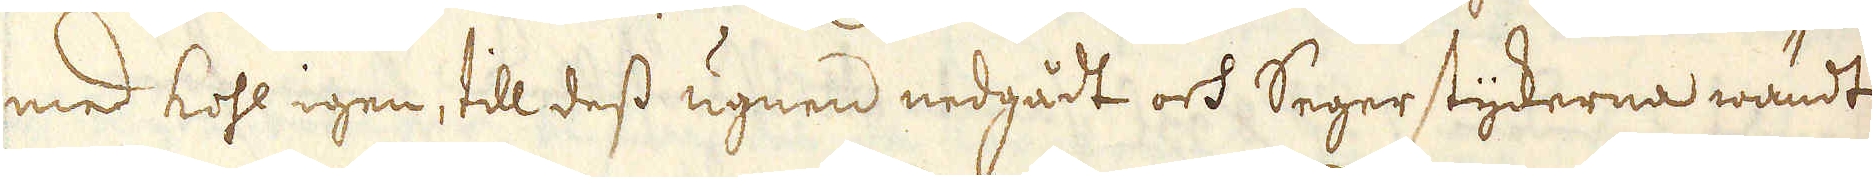med kohl igen, till dess ugnen nedgådt och Segerstyckerna wändt
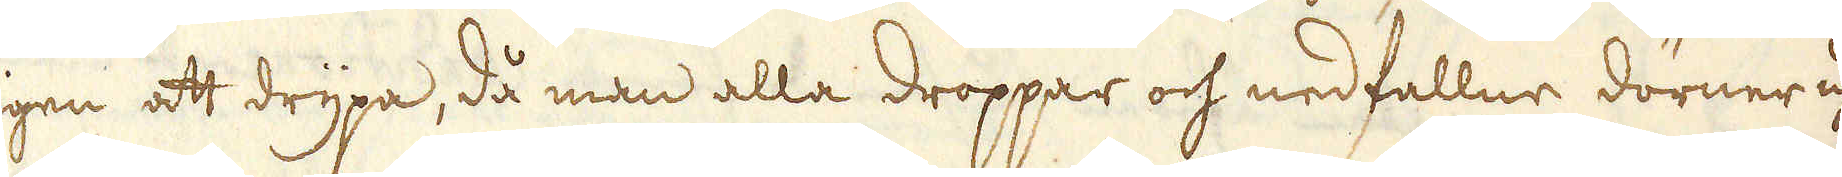igen att drypa, då man alla droppar och nedfallne dörnern uhr
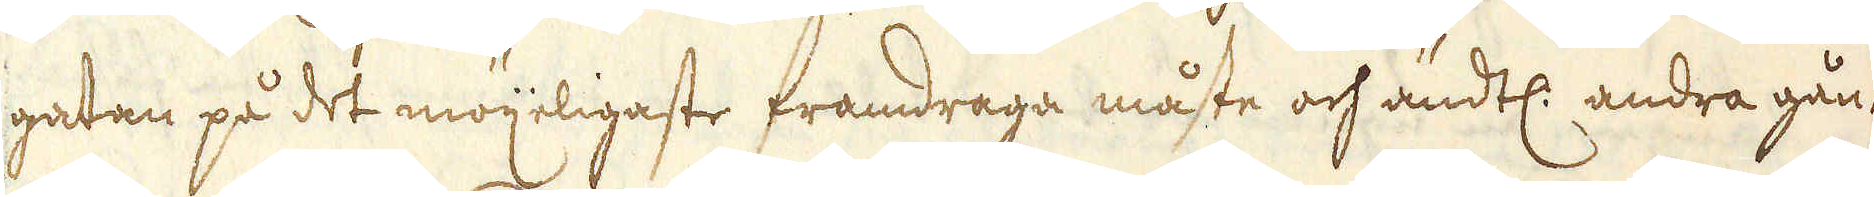gatan på det möjeligaste framdraga måste och ändtl: andra gån-
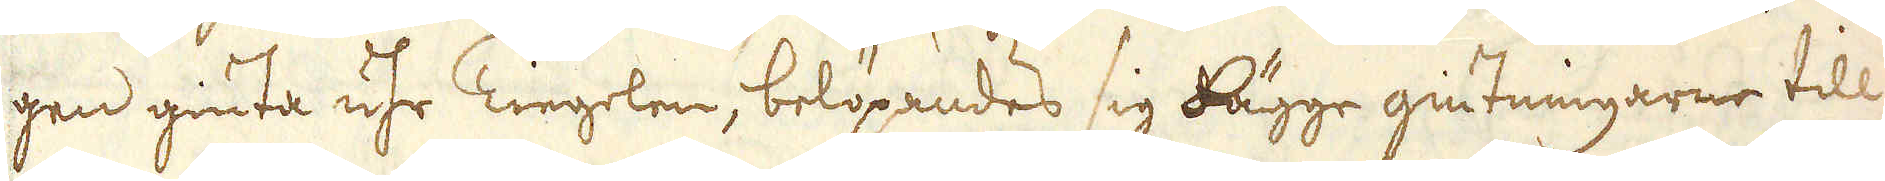gen giuta uhr Tiegelen, belöpandes sig bägge giutningarne till
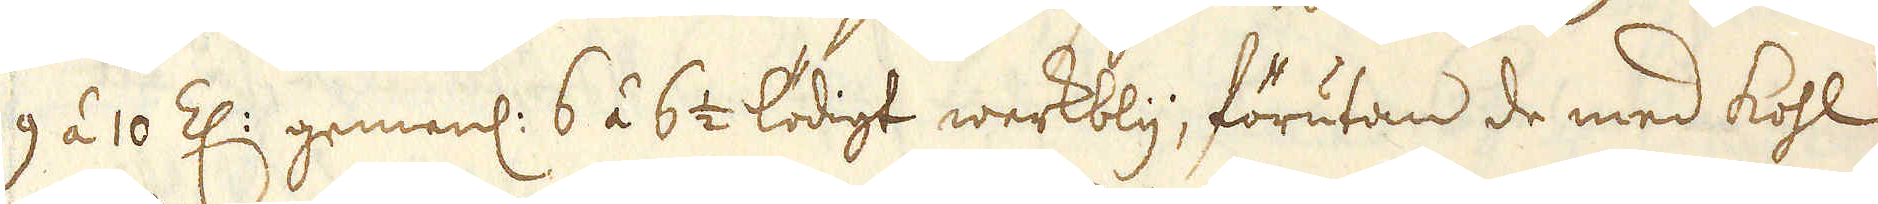9 á 10 Z: gemenl: 6 á 6 1/2 lödigt werkbly, förutan de med kohl
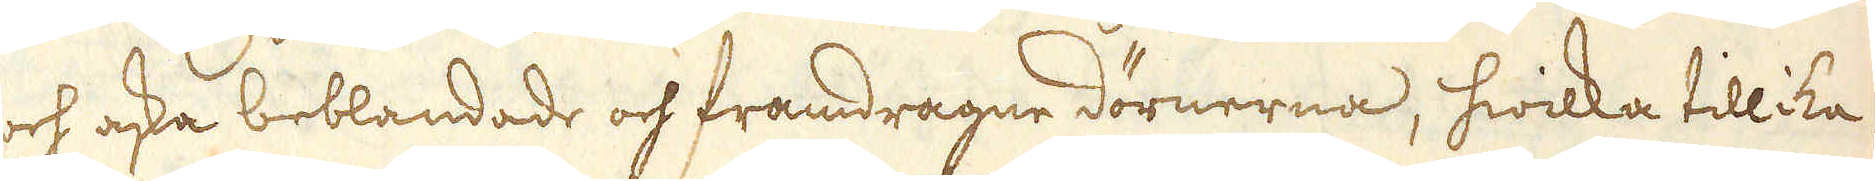och aska beblandade och framdragne dörnerna, hwilka tillika
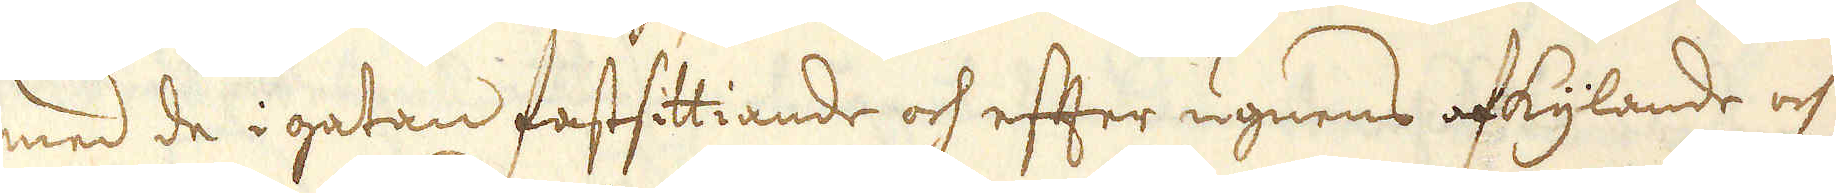med de i gatan fastsittiande och efter ugnens afkylande och
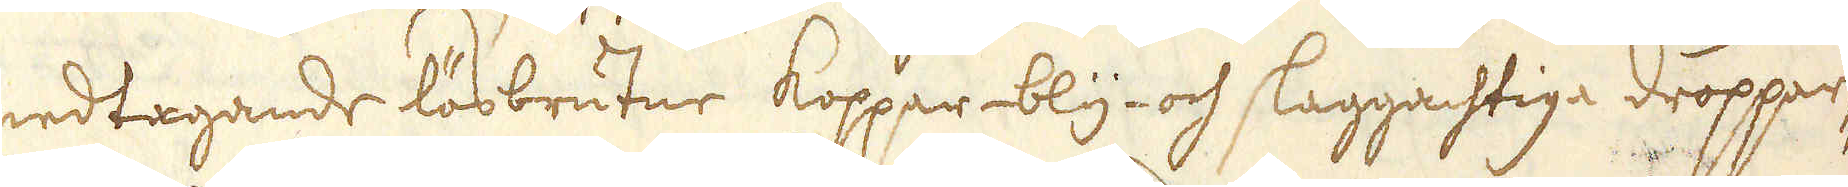nedtagande lösbrutne koppar- bly- och slaggachtiga dropper-
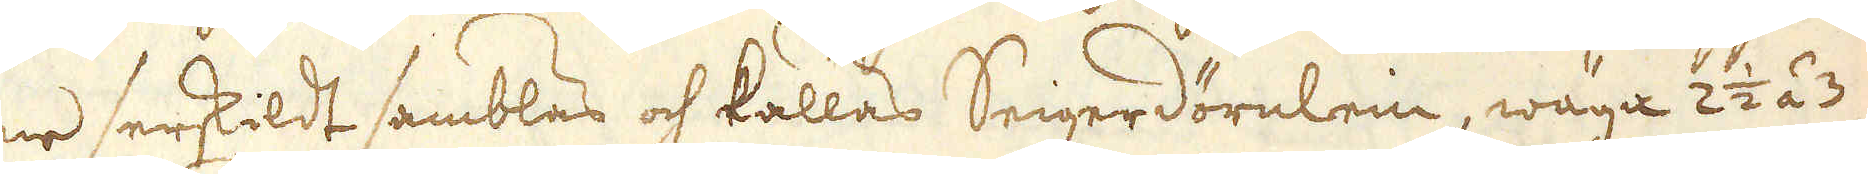ne serskildt samblas och kallas Seigerdörnlein, wäga 2 1/2 á 3
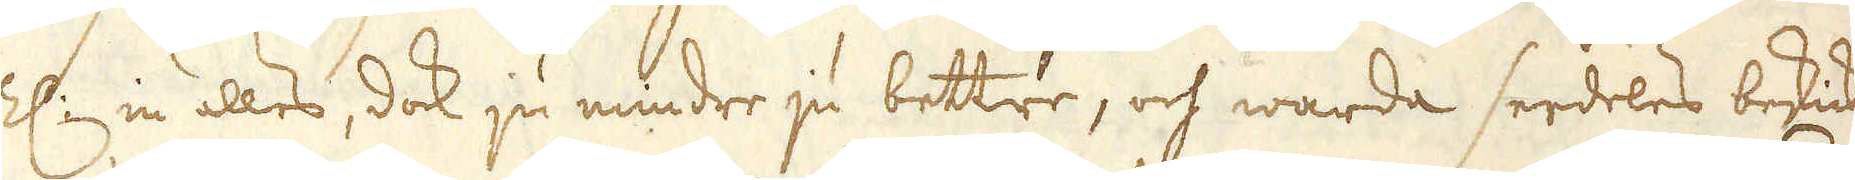Z: in alles, dock ju mindre ju bettre, och warda serdeles beskicka-
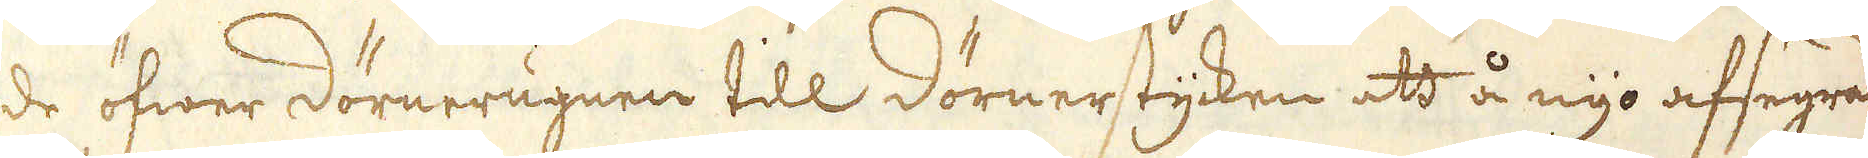de öfwer dörnerugnen till dörnerstycken att å nyo afsegras.
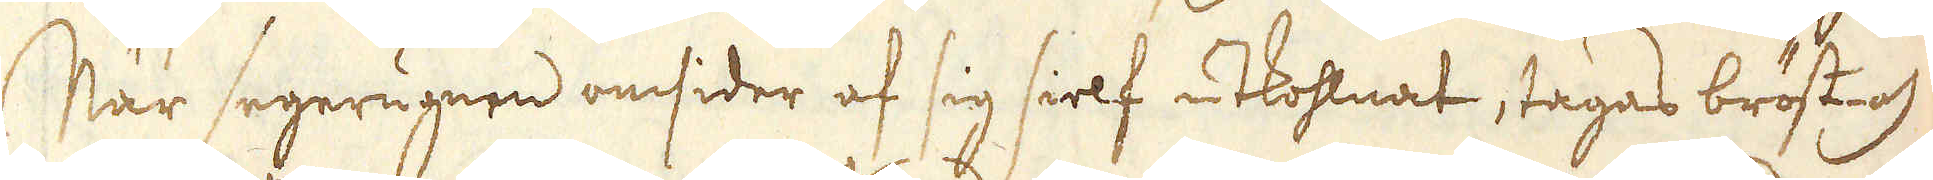När segerugnen omsider af sig sielf utkohlnat, tagas bröst- och
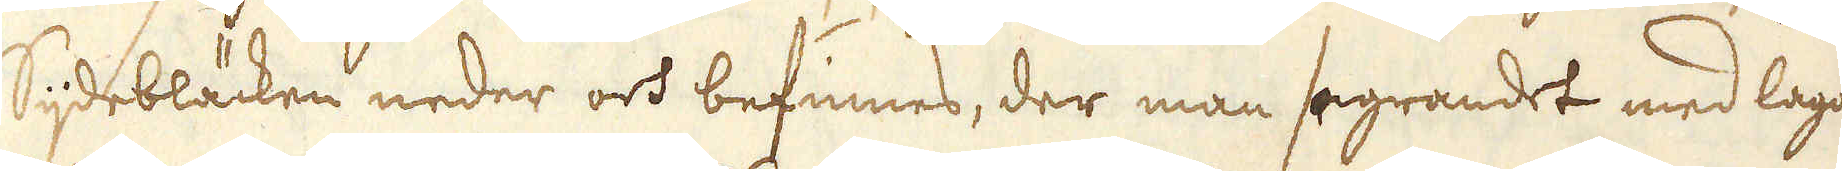sijdebläcken neder och befinnes, der man segrandet med lagom
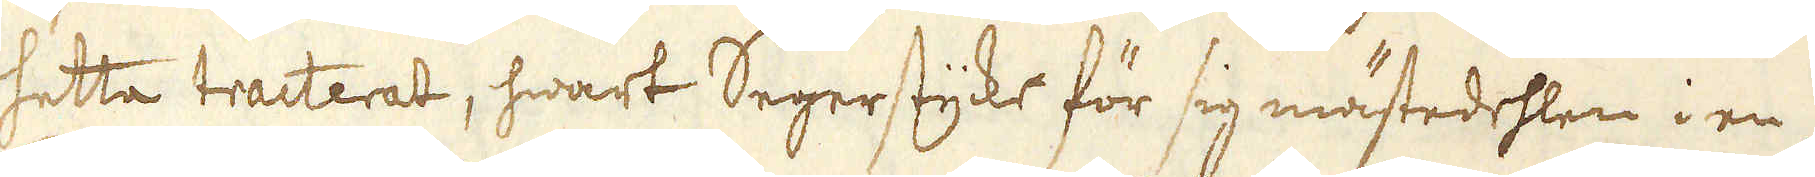hetta tracterat, hwart Segerstycke för sig mästedehlen i en
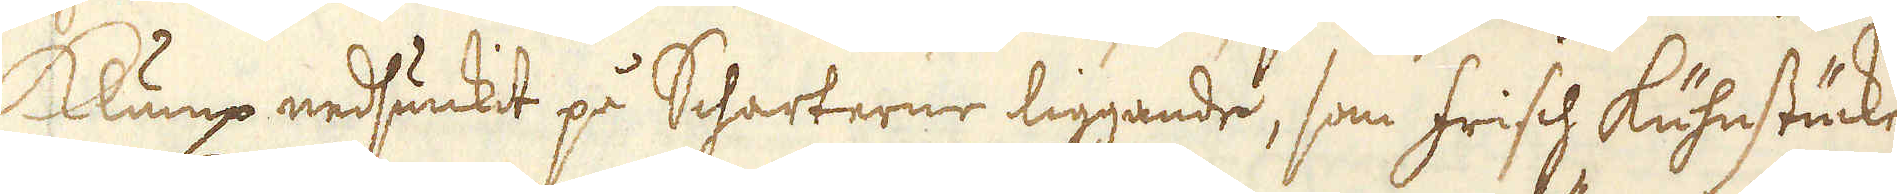Klump nedsunkit på Scharterne liggande, som frisch kuhnstäcke
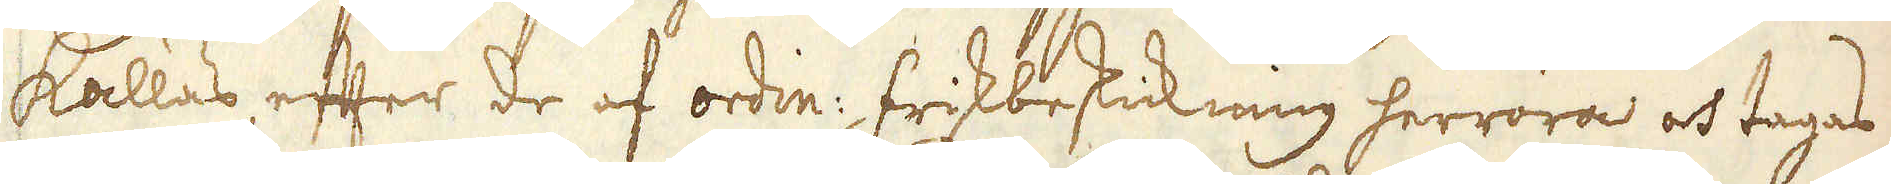kallas efter de af ordin: frikbeskickning herröra och tagas
